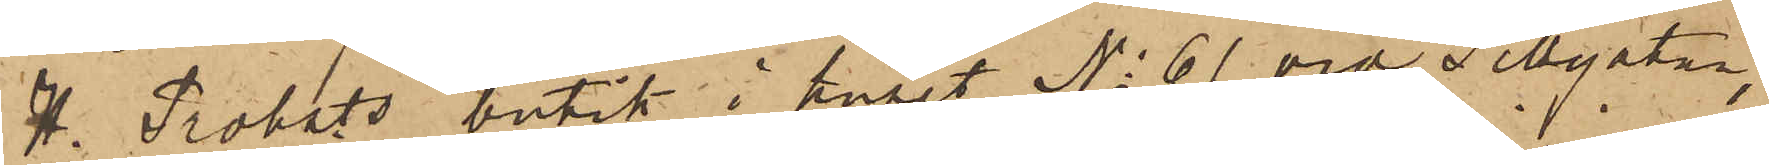H. Probsts butik i huset No 61 vid Sillgatan,
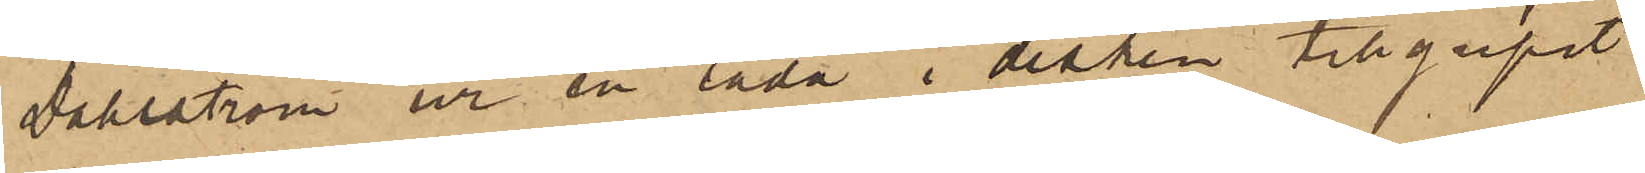Dahlström ur en låda i disken tillgripit
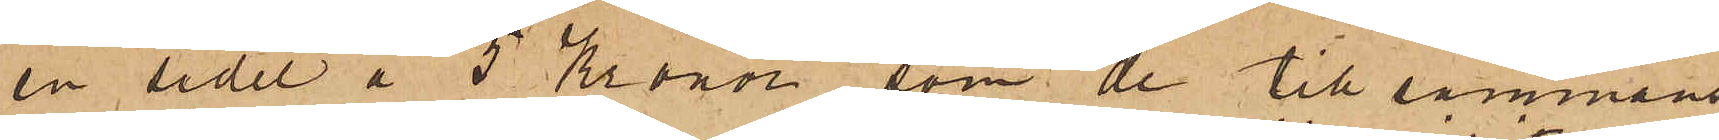en sedel å 5 Kronor, som de tillsammans
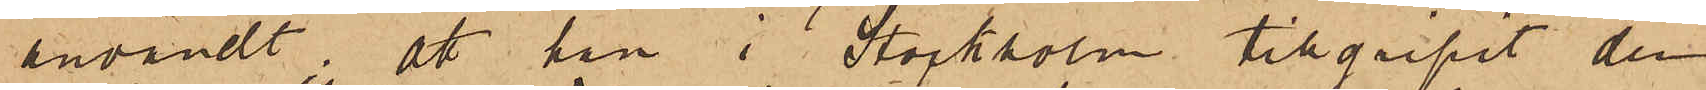användt; att han i Stockholm tillgripit den
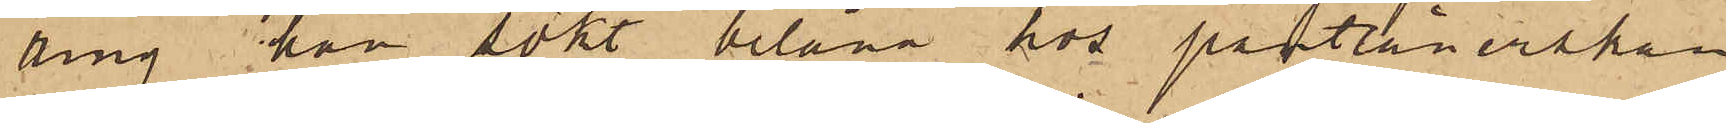ring han sökt belåna hos pantlånerskan
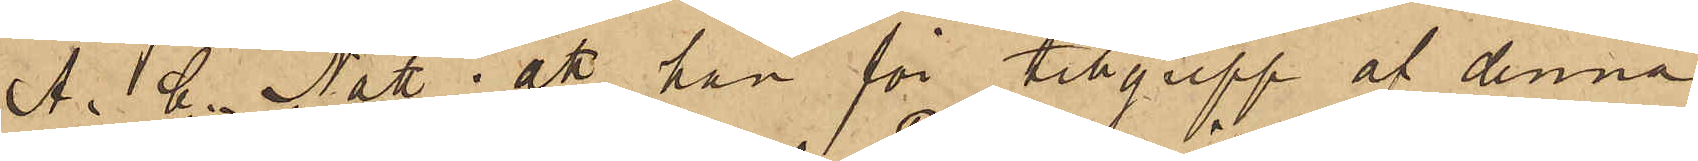A. C. Nätt; att han för tillgrepp af denna
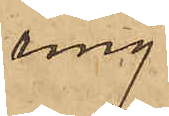ring
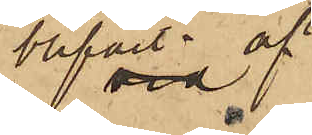blifvit af
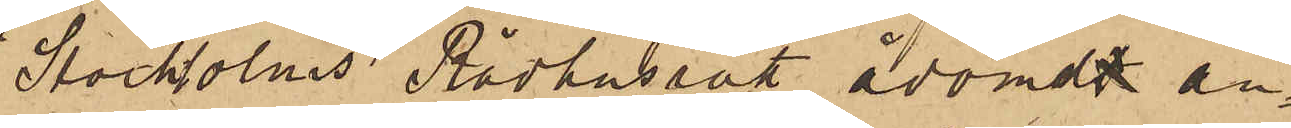Stockholms Rådhusrätt ådömdt an¬
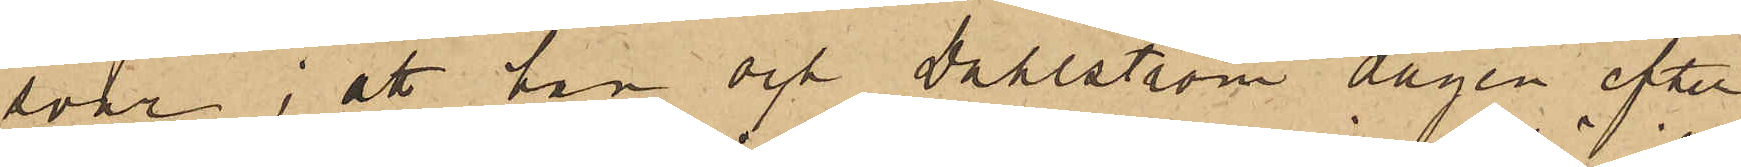svar; att han och Dahlström dagen efter
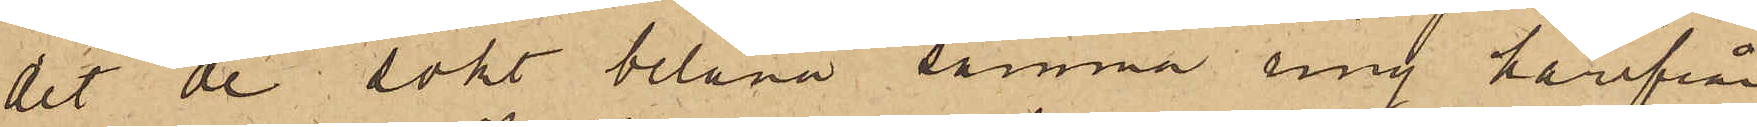det de sökt belåna samma ring härifrån
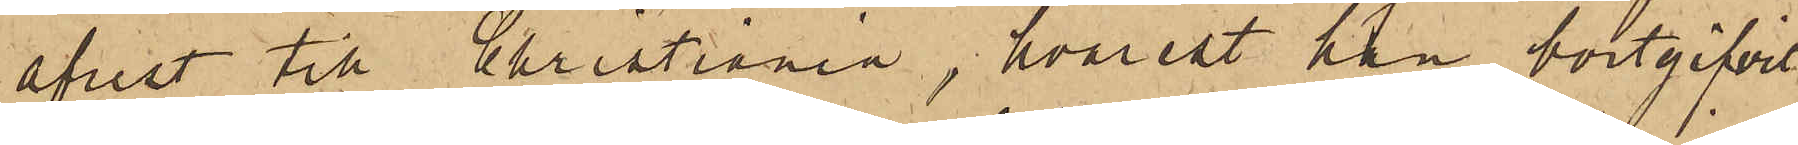afrest till Christiania, hvarest han bortgifvit
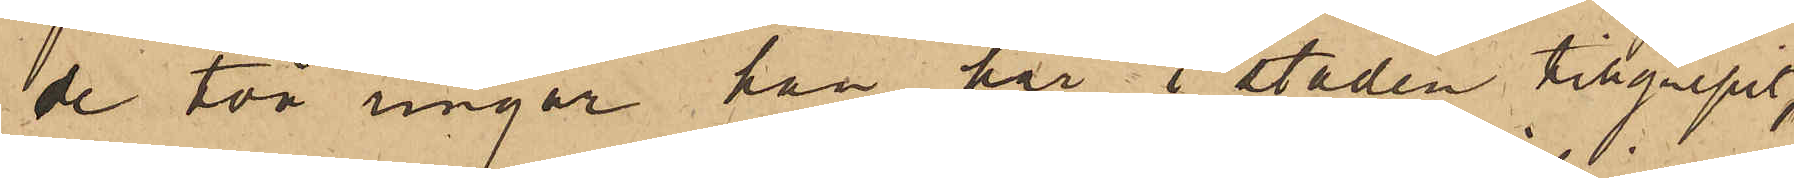de två ringar han här i staden tillgripit,
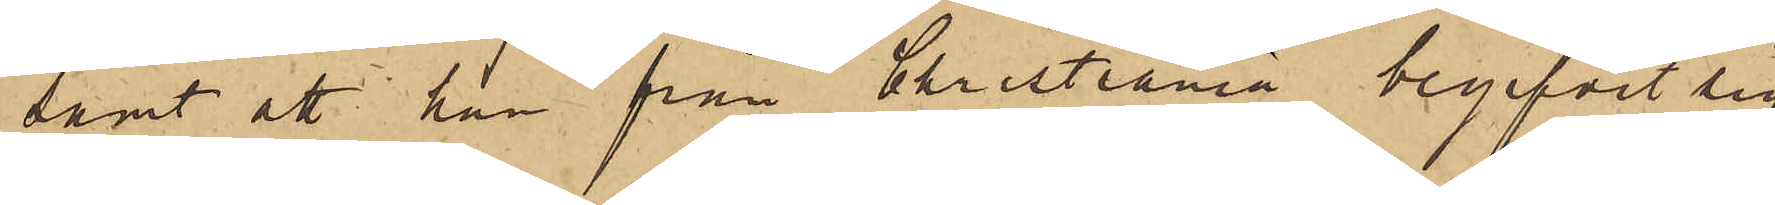samt att han från Christiania begifvit sig
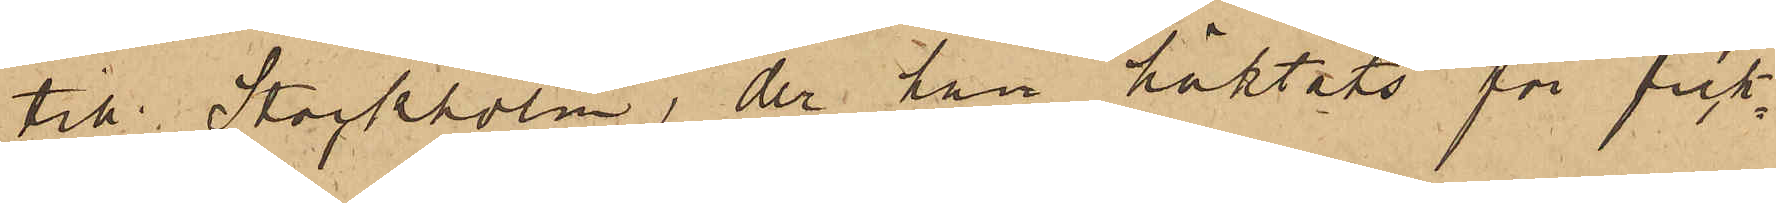till Stockholm, der han häktats för fick¬
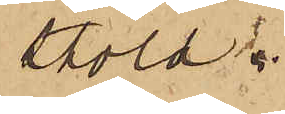stöld.
